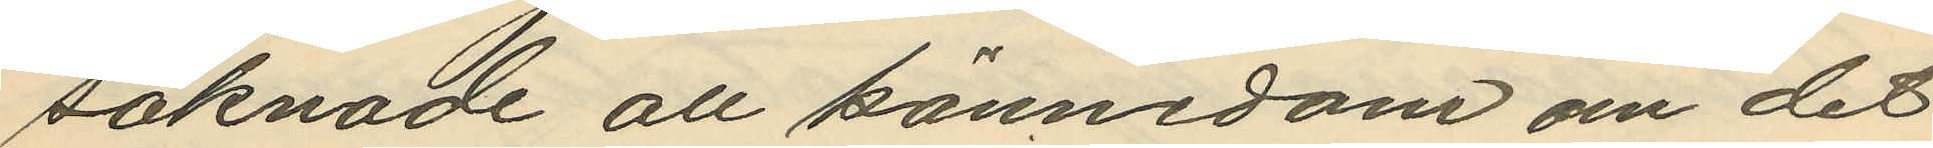saknade all kännedom om det
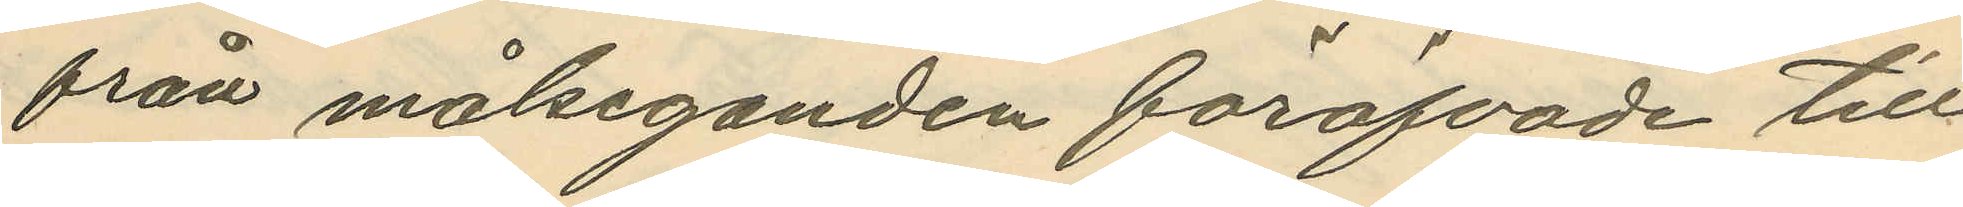från målseganden föröfvade till¬
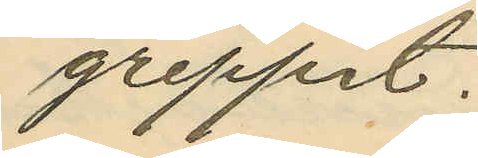greppet.
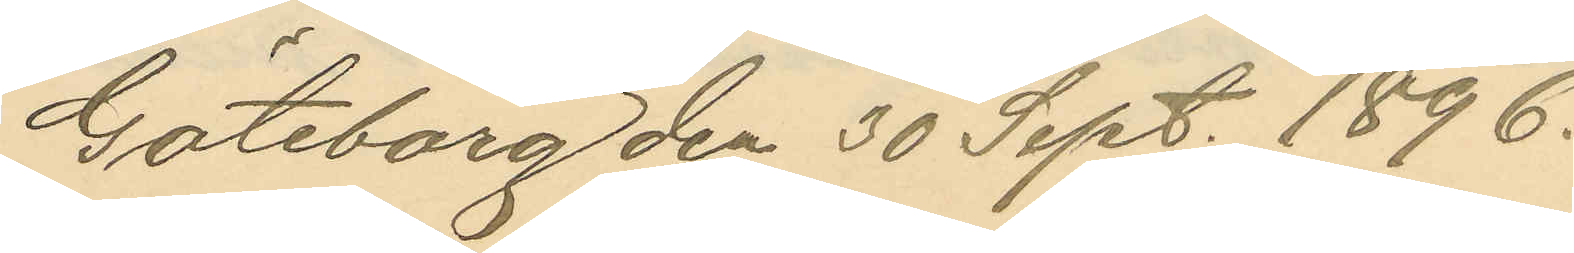Göteborg den 30 Sept. 1896.
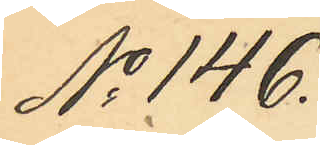No 146.
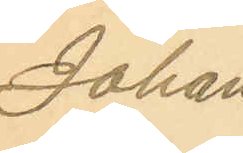Johan
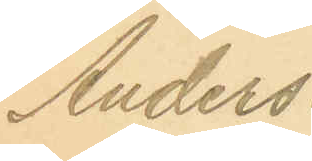Anders¬
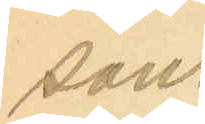son.
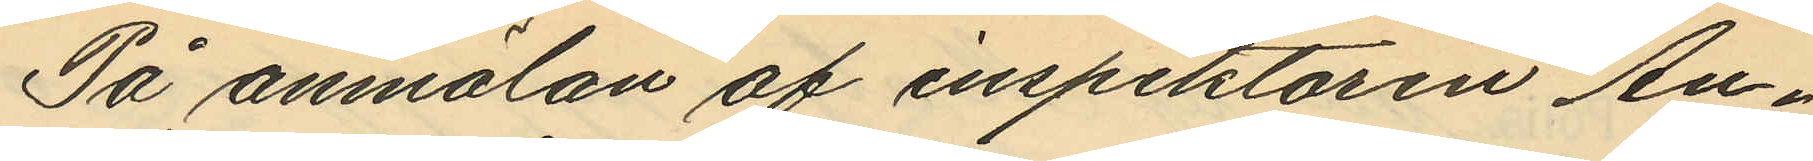På anmälan af inspektoren An¬
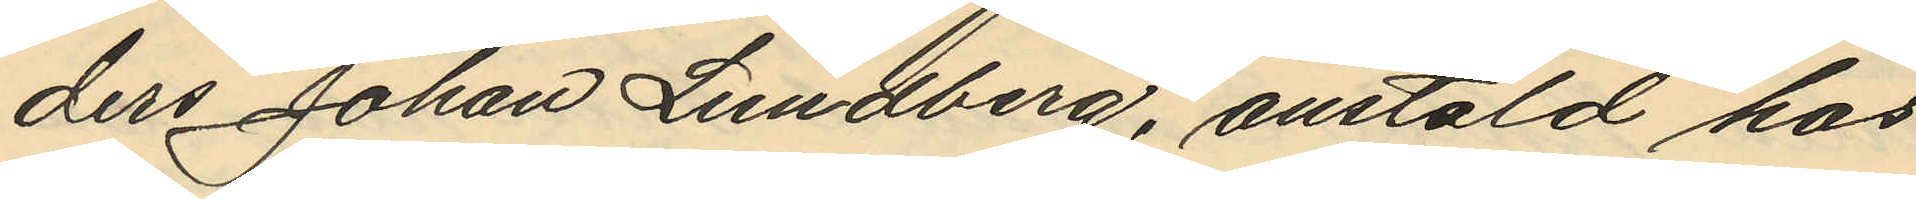ders Johan Lundberg, anstäld hos
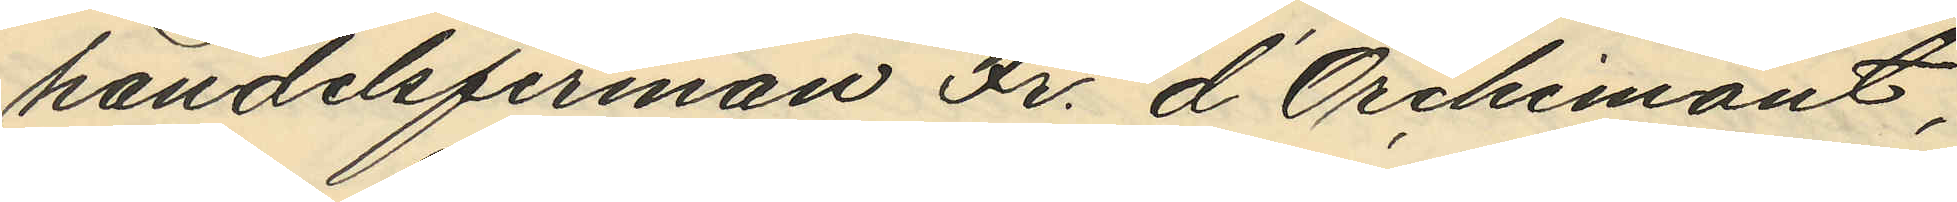handelsfirman Fr. d'Orchimont,
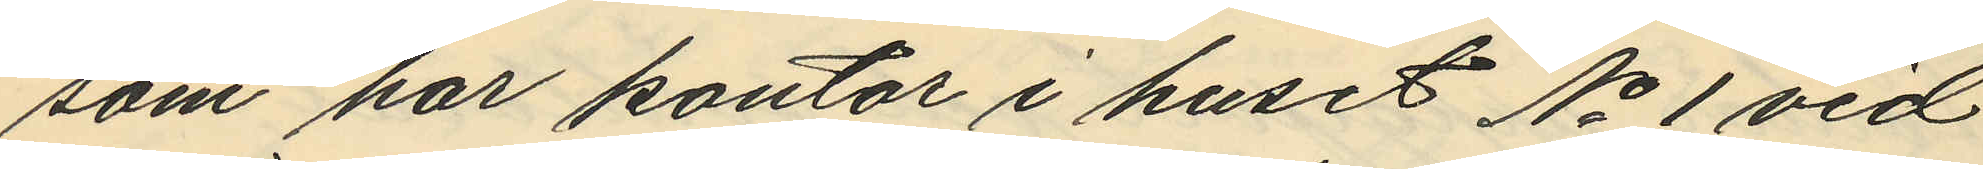som har kontor i huset No 1 vid
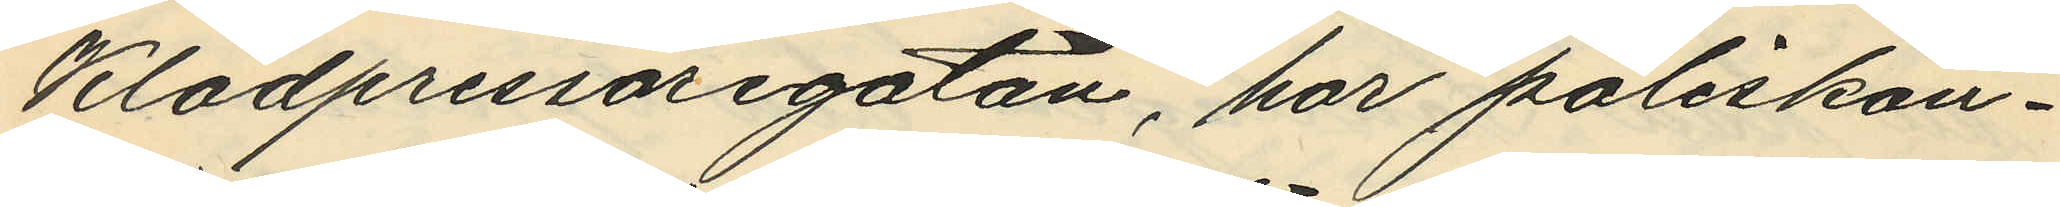Klädpressaregatan, har poliskon¬
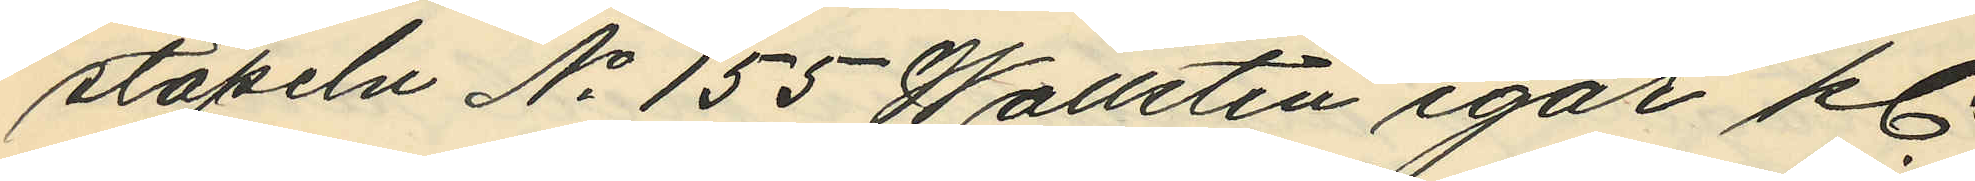stapeln No 155 Wallsten igår kl.
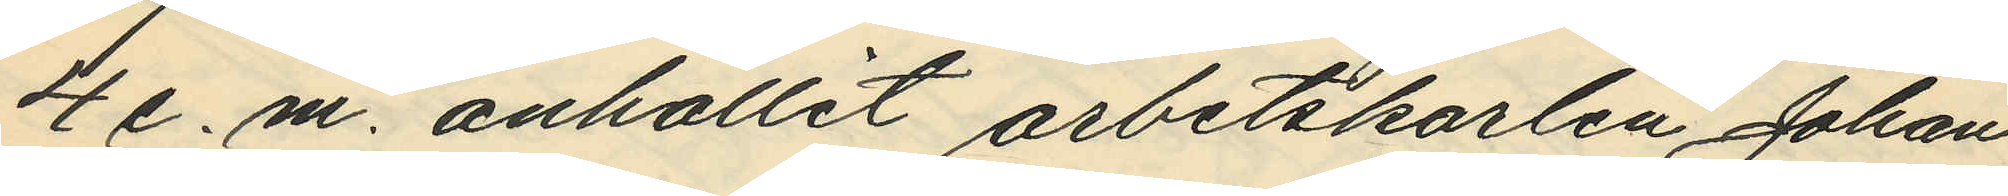4 e.m. anhållit arbetskarlen Johan
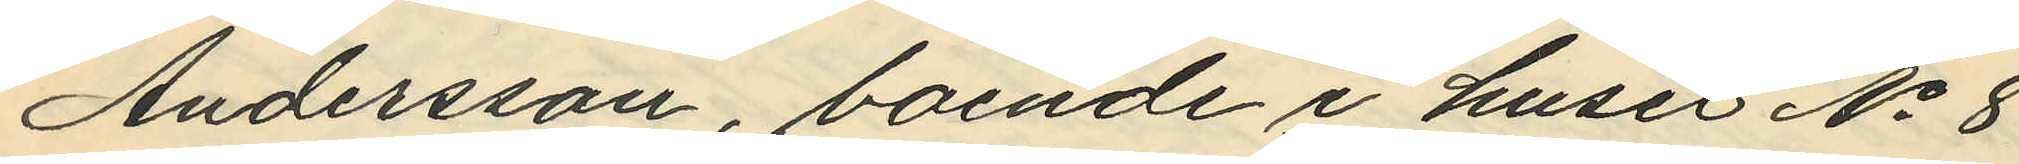Andersson, boende i huset No 8
